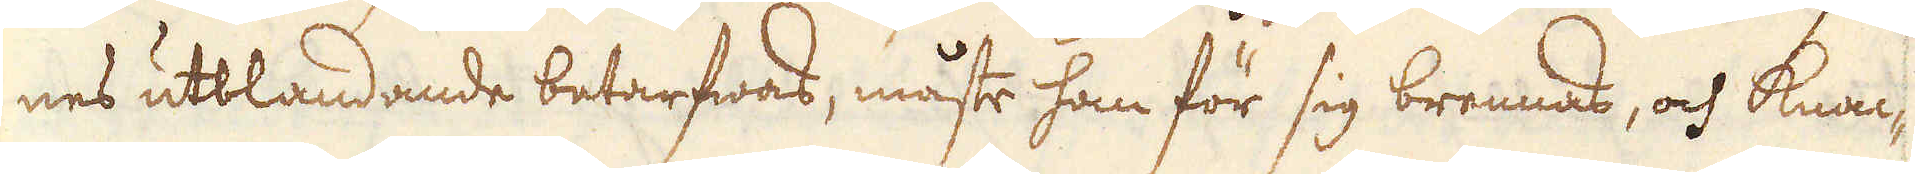nes utblandande betarfwas, måste han för sig brennas, och knac-
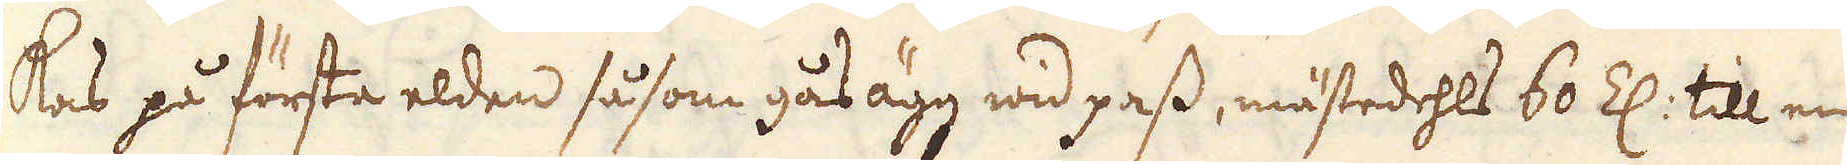kas på första elden såsom gås ägg wid pass, mästedehls 60 Z: till en
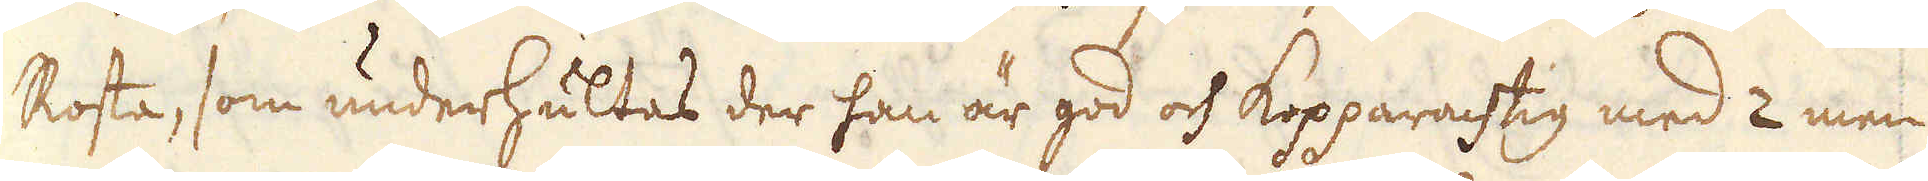Rosta, som underhultas der han är god och kopparachtig med 2 men
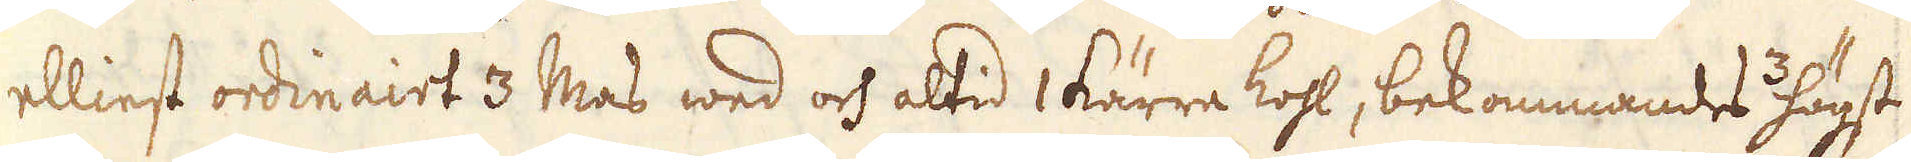elliest ordinairt 3 Mas wed och altid 1 kärra kohl, bekommandes 3 högst
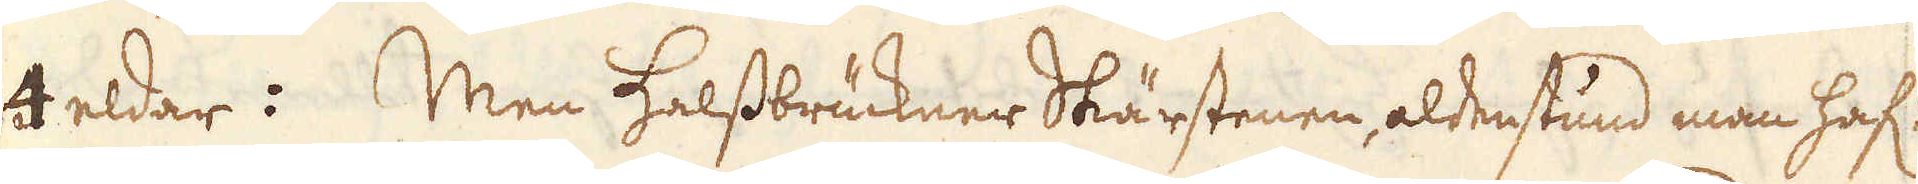4 eldar: Men Halssbrückner Skärstenen, aldenstund man haf:
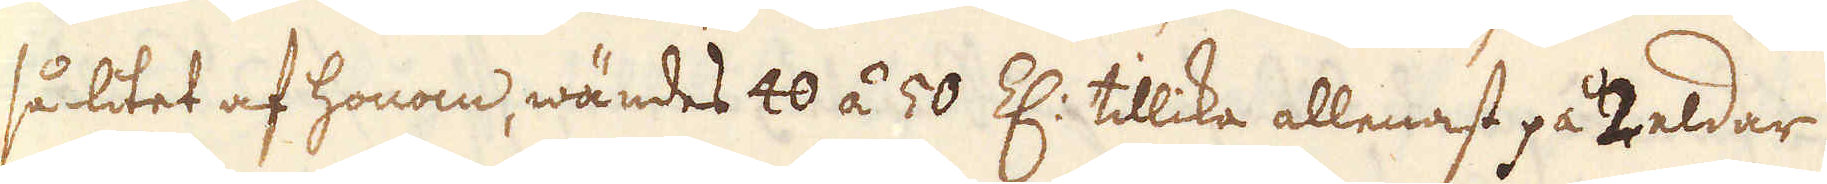så litet af honom, wändes 40 á 50 Z: tillika allenast på 2 eldar
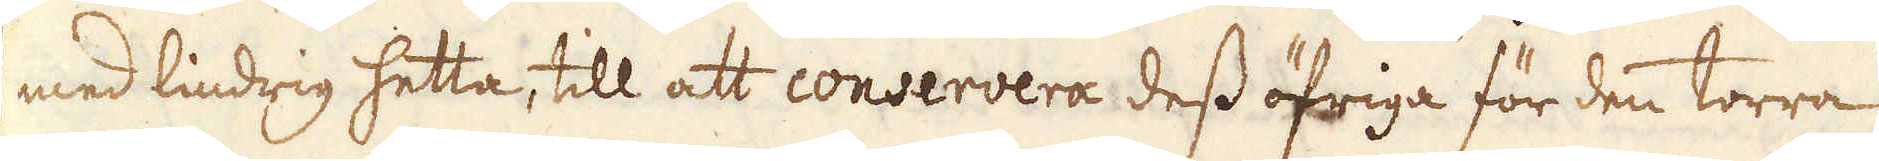med lindrig hetta, till att conservera dess öfriga för den torra
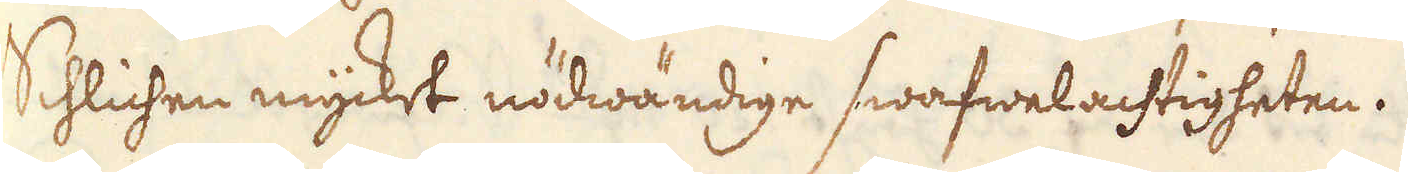Schlichen mycket nödwändige swafwelachtigheten.
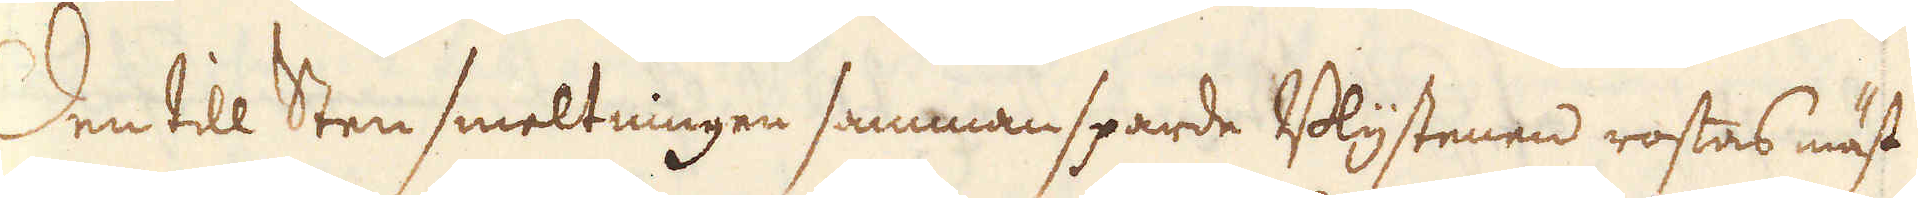Den till Sten smeltningen sammansparde Blystenen rostas näst
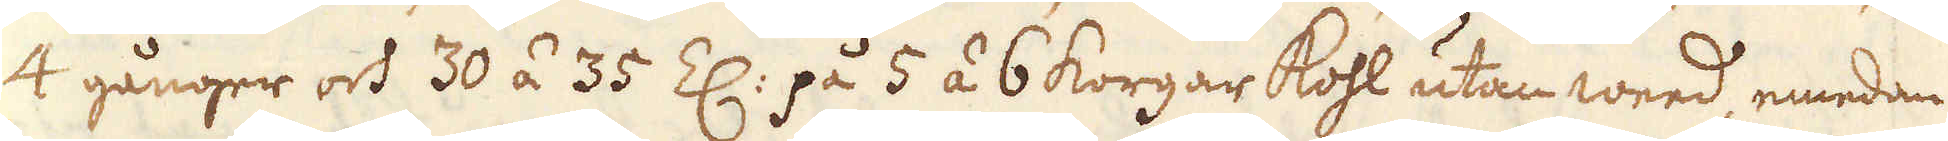4 gånger och 30 á 35 Z: på 5 á 6 korgar kohl utan weed, emedan
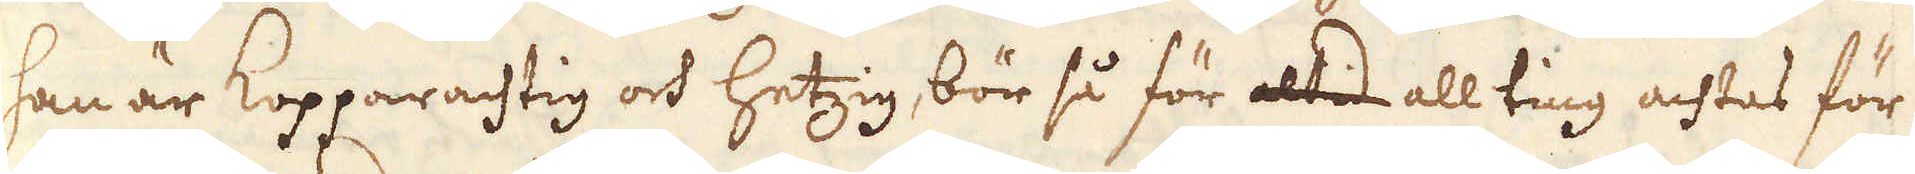han är Kopparachtig och hetzig, bör så för altid all ting achtas för
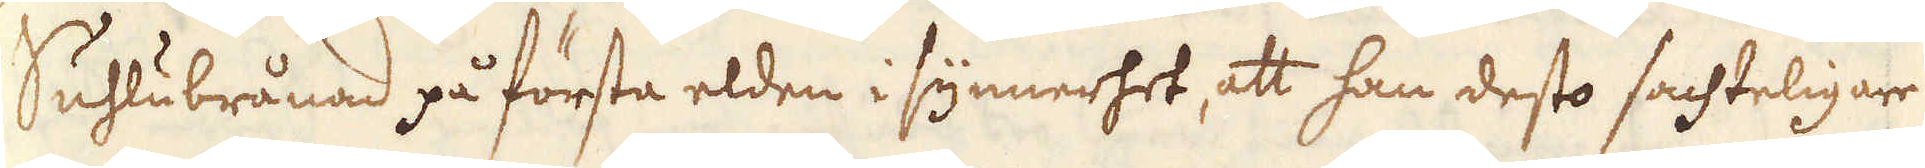Suhlubrånad på första elden i synnerhet, att han desto sachteligare
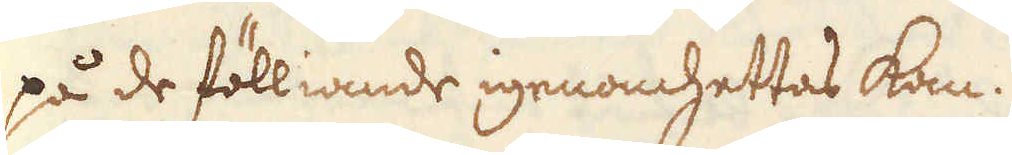på de fölliande igenomhettas kan.
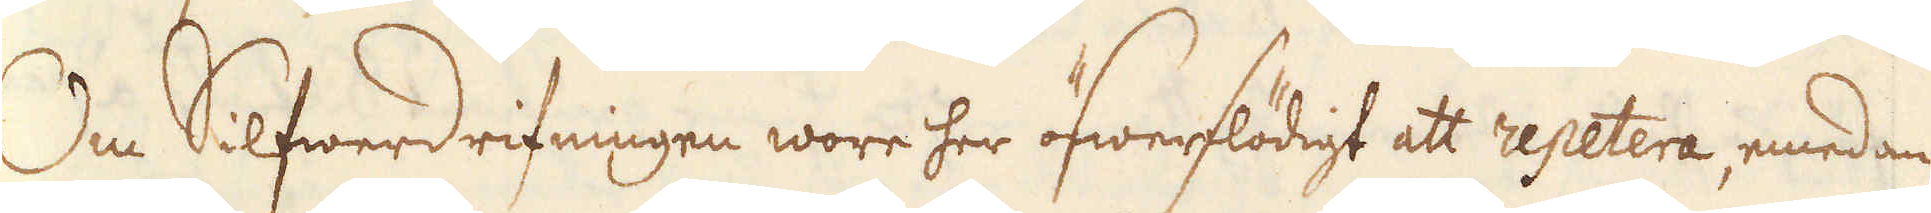Om Silfwerdrifningen wore her öfwerflödigt att repetera, emedan
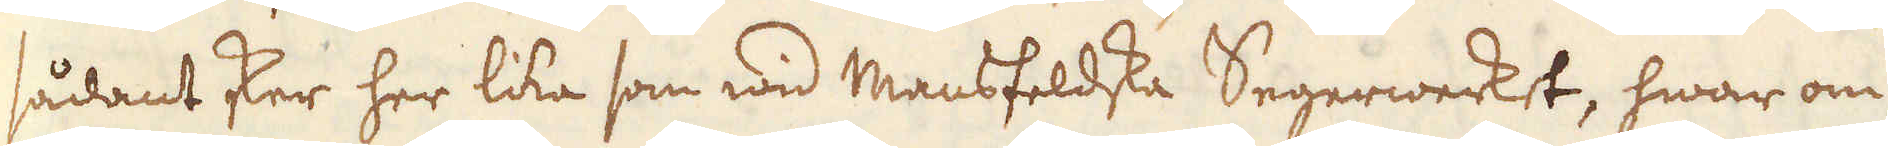sådant sker her lika som wid Mansfeldska Segerwerket, hwar om
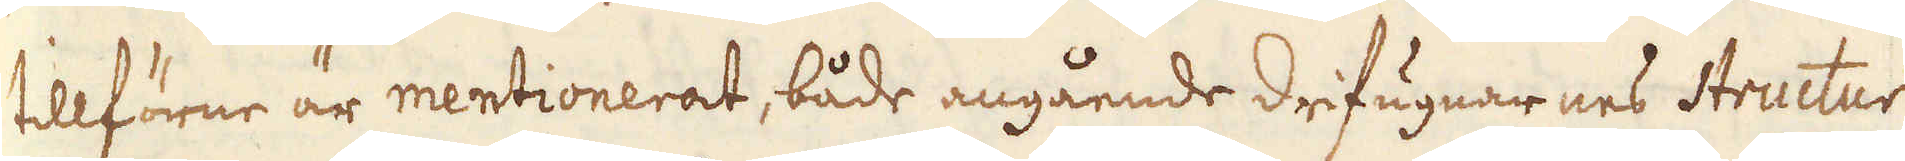tillförne är mentionerat, både angående drifugnarnes structur
